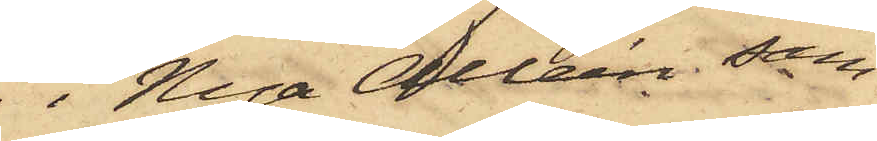i Nya Alléen sam¬
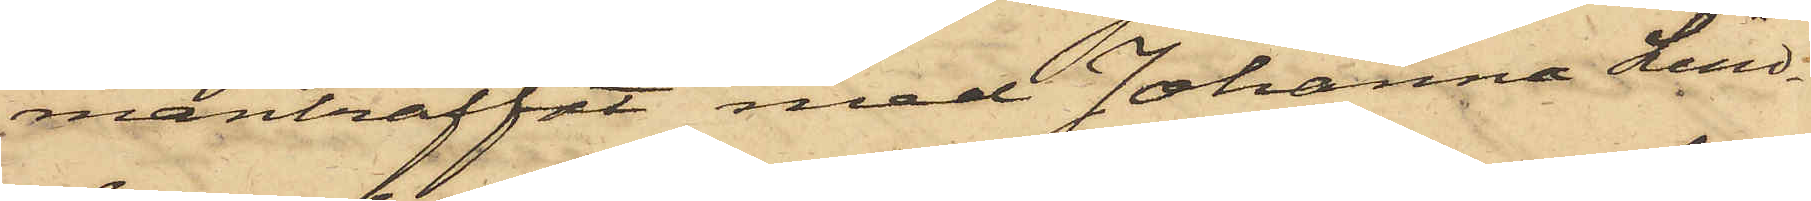manträffat med Johanna Lind¬
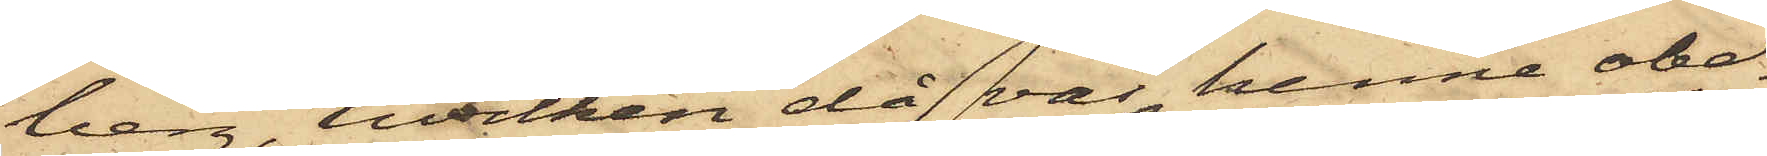berg, hvilken då var henne obe¬
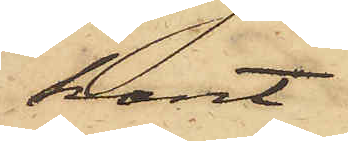kant
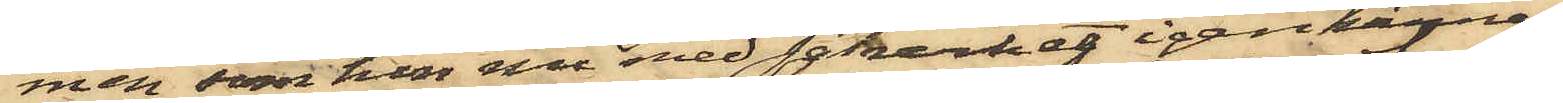men, som hon nu med säkerhet igenkänner;
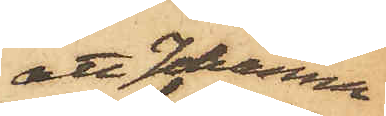att Johanna
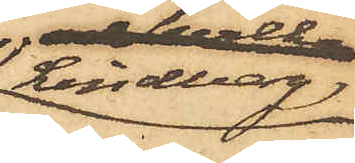Lindberg
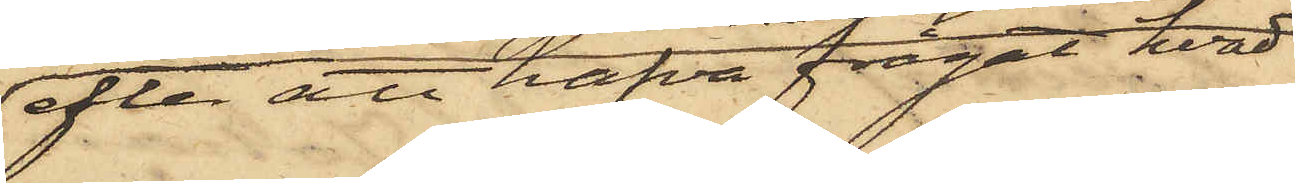efter att hafva frågat hvad
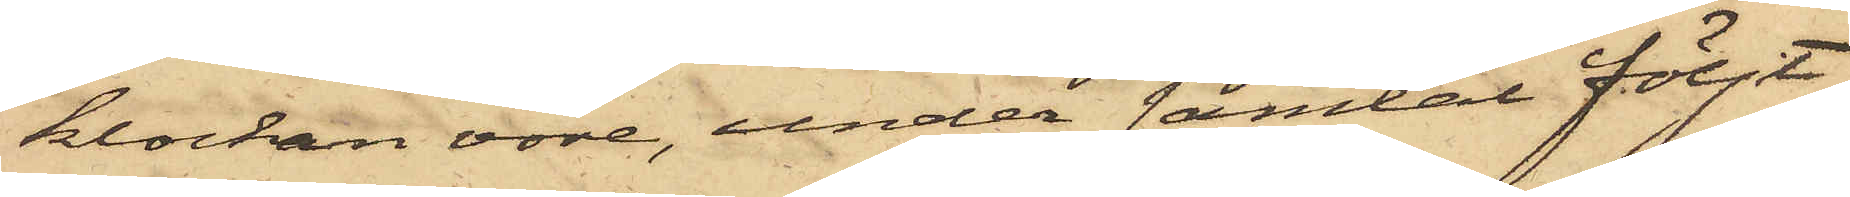klockan vore, under samtal följt
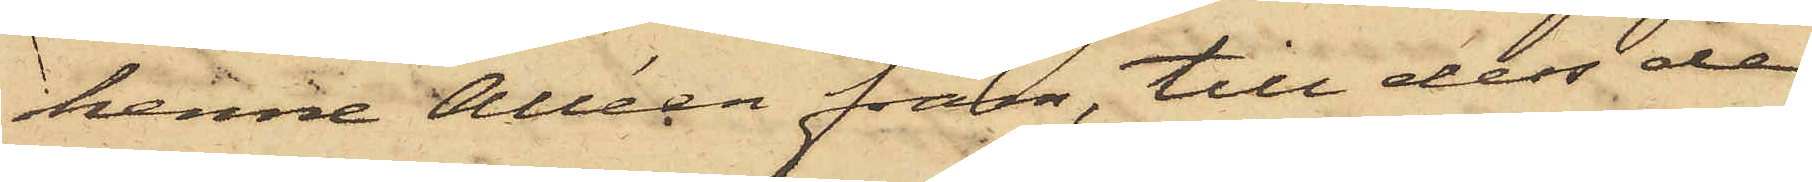henne Alléen fram, till dess de
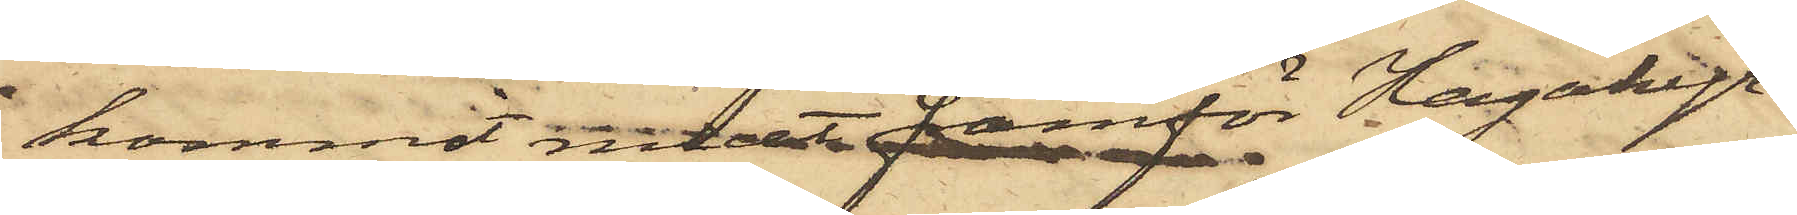kommit midt framför Hagakyr¬
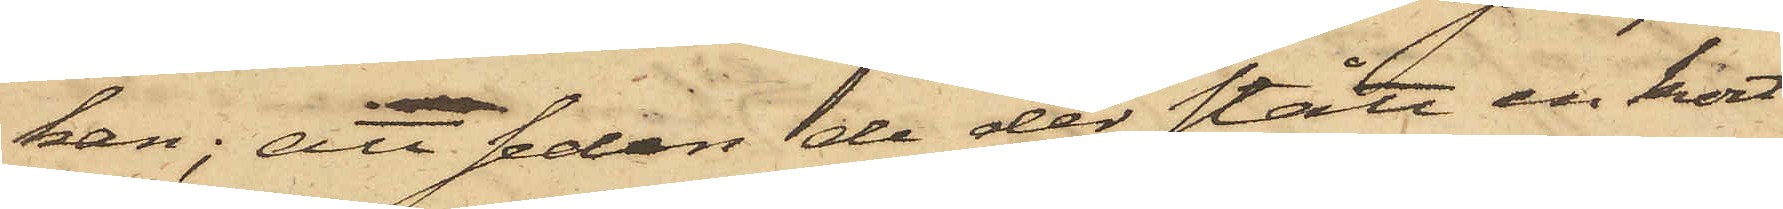kan; att sedan de der stått en kort
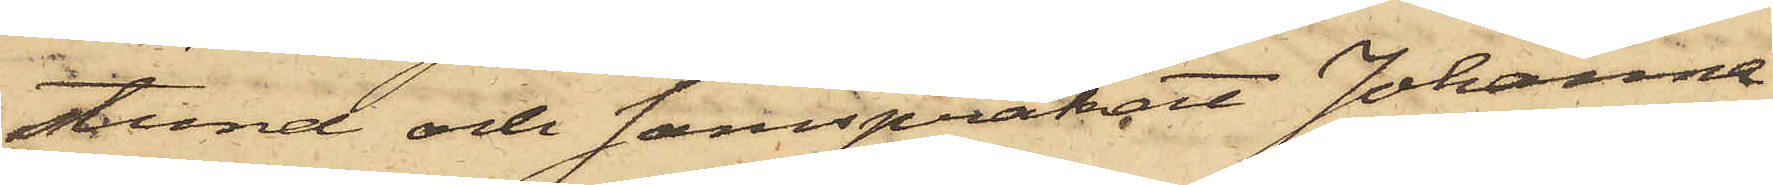stund och samspråkat Johanna
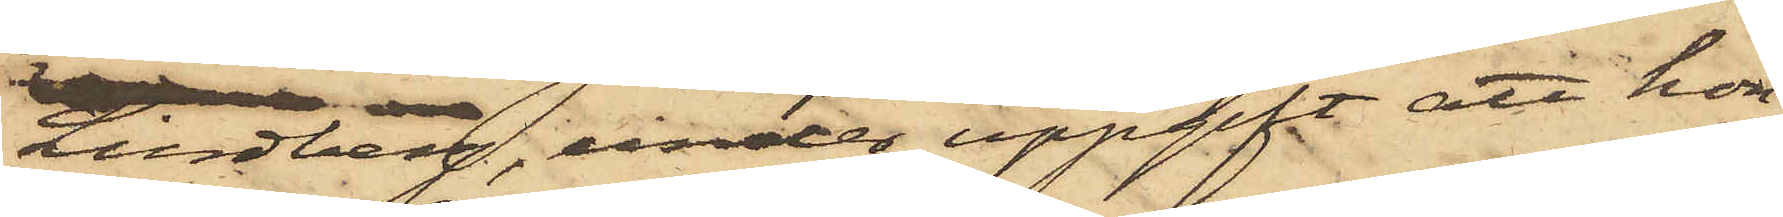Lindberg, under uppgift att hon
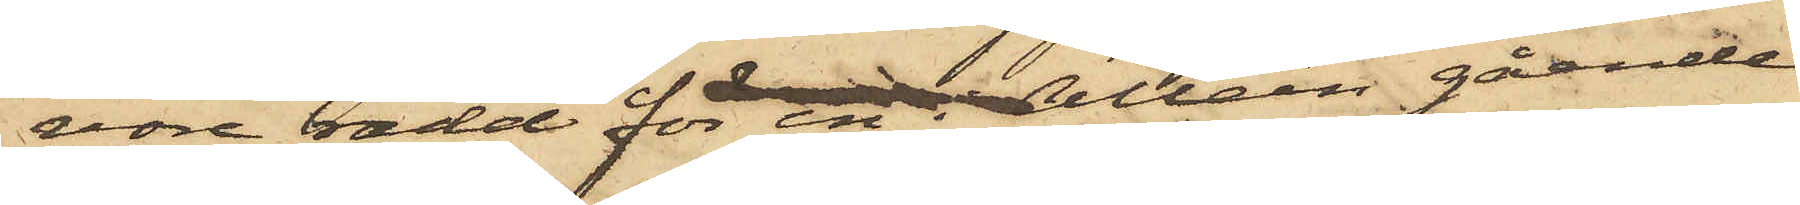vore rädd för en i Alleén gående
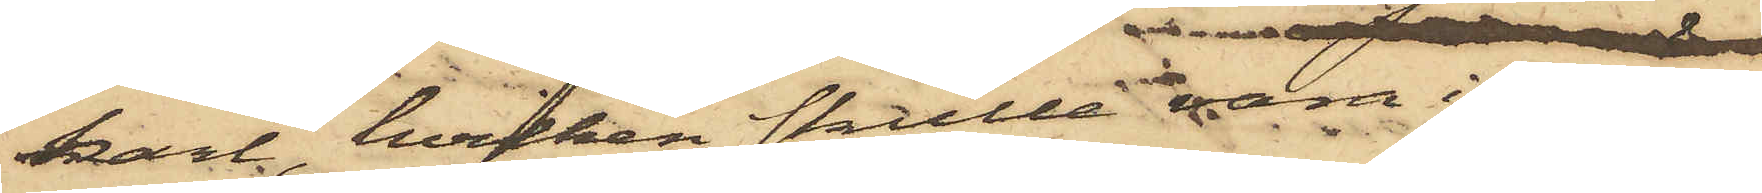karl, hvilken skulle vara i ovän¬
